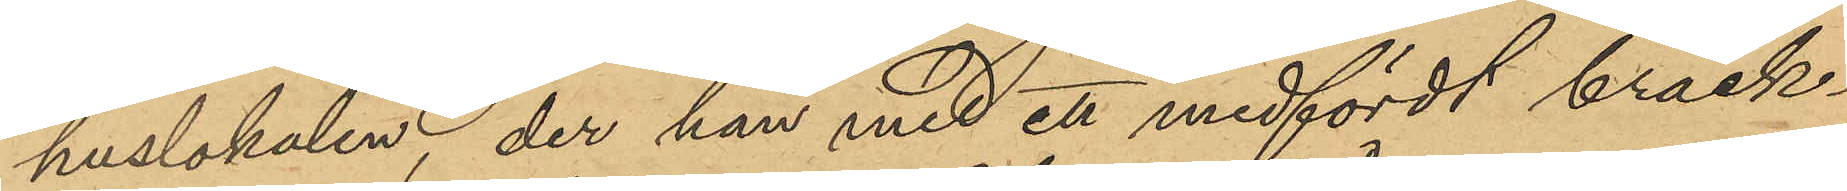huslokalen, der han med ett medfördt bräck¬
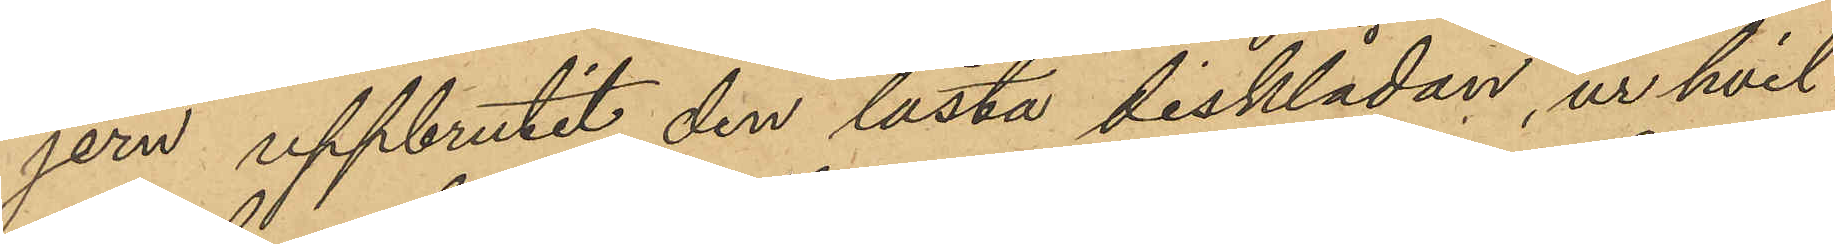jern uppbrutit den låsta disklådan, ur hvil¬
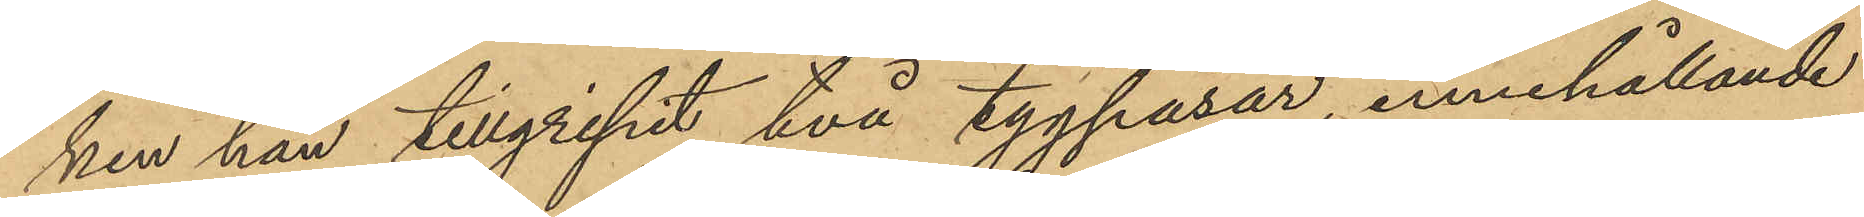ken han tillgripit två tygpåsar, innehållande
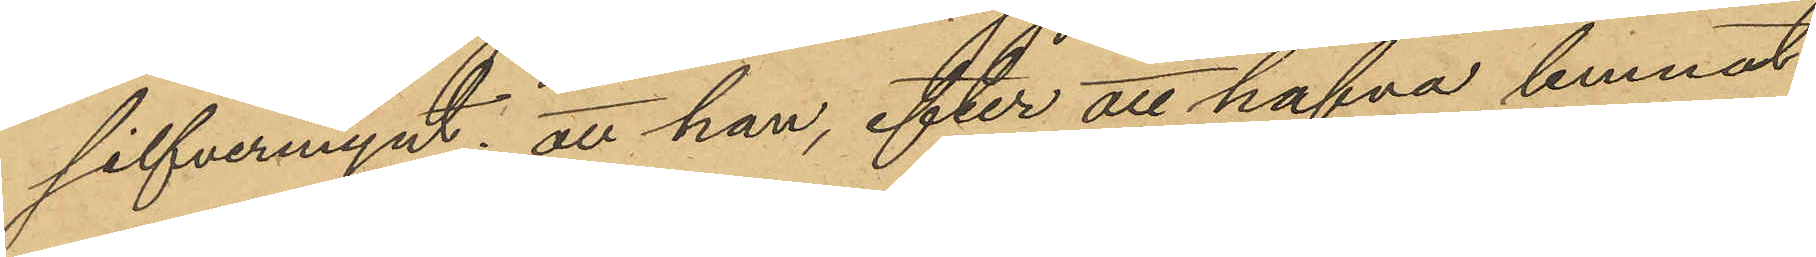silfvermynt; att han, efter att hafva lemnat
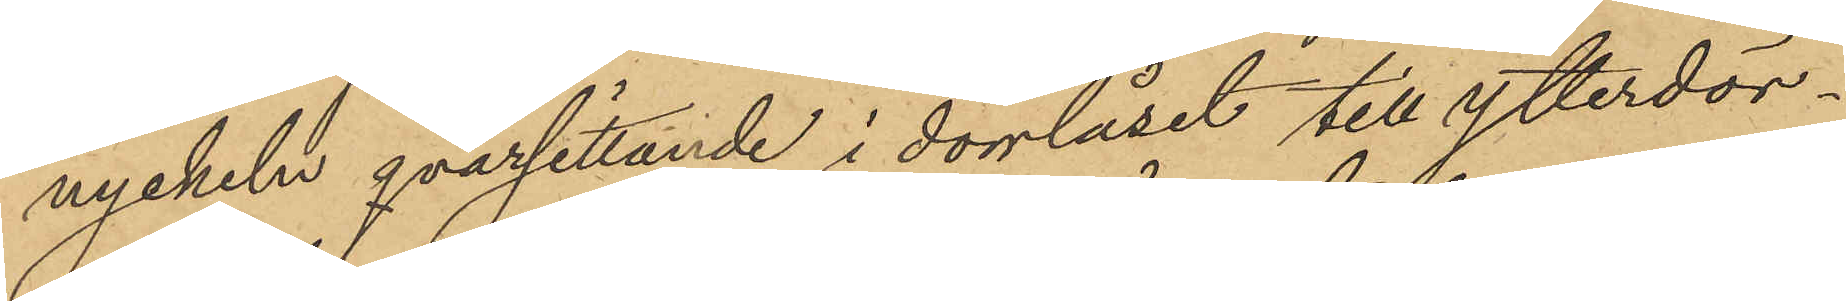nyckeln qvarsittande i dörrlåset till ytterdör¬
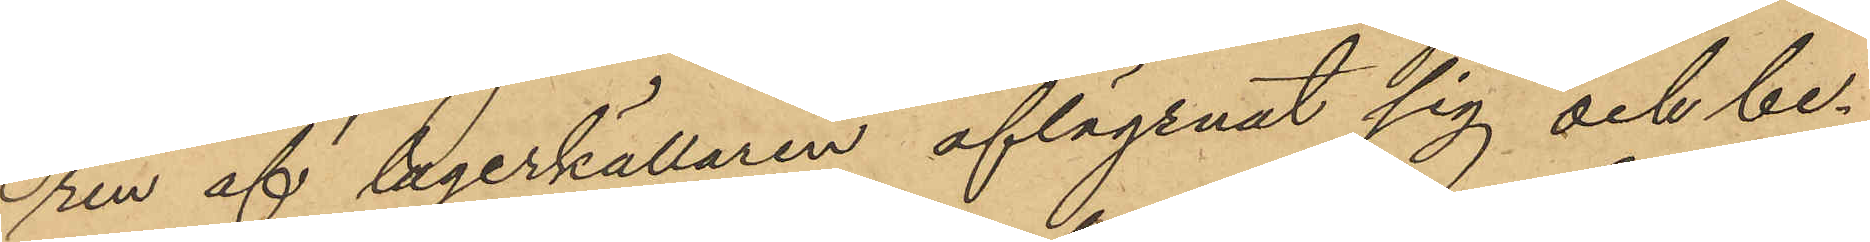ren af legerkällaren aflägsnat sig och be¬
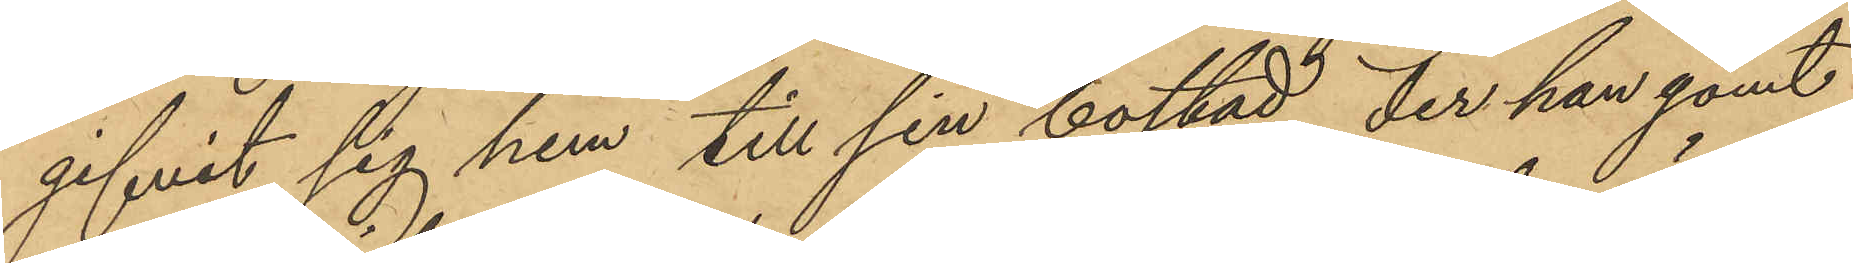gifvit sig hem till sin bostad, der han gömt
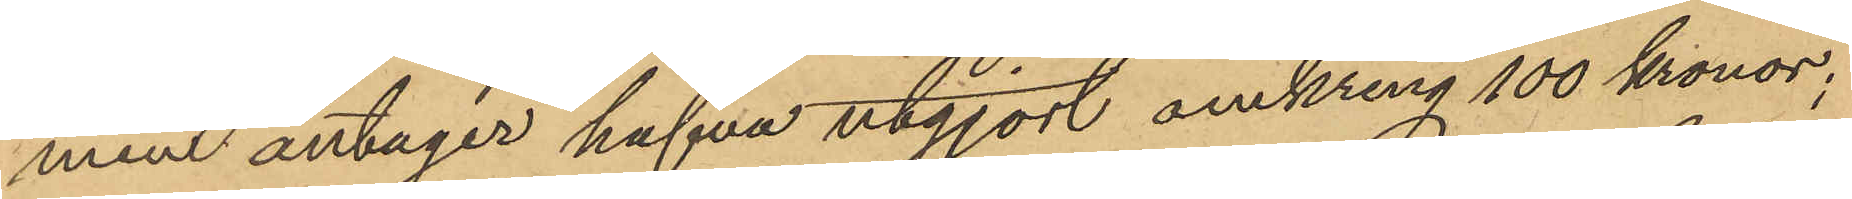men antager hafva utgjort omkring 100 kronor;
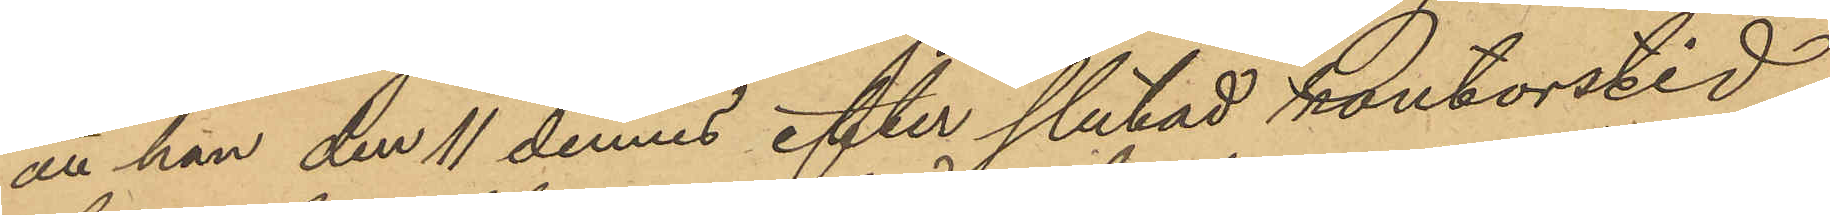att han den 11 dennes efter slutad kontorstid
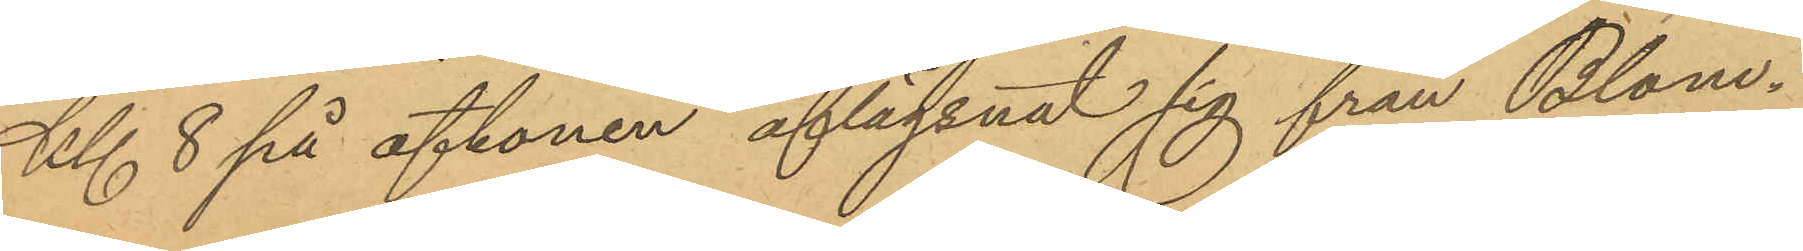Kl. 8 på aftonen aflägsnat sig från Blom¬
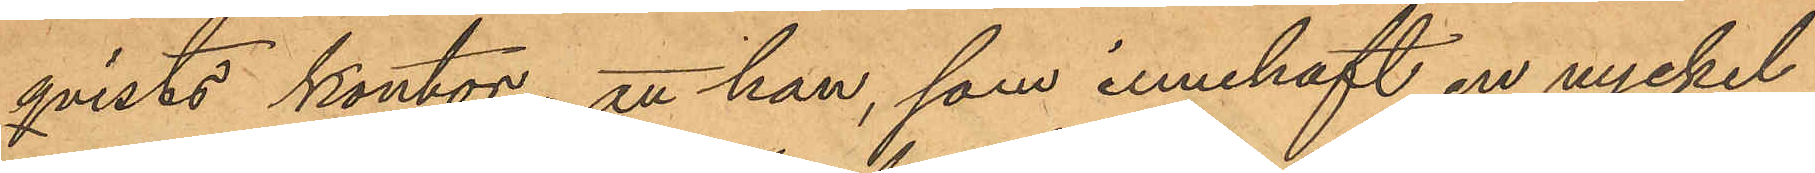qvists kontor; att han, som innehaft en nyckel
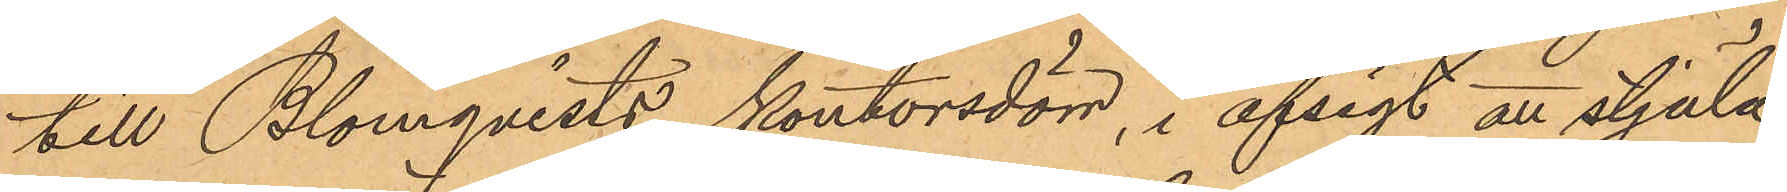till Blomqvists kontorsdörr, i afsigt att stjäla
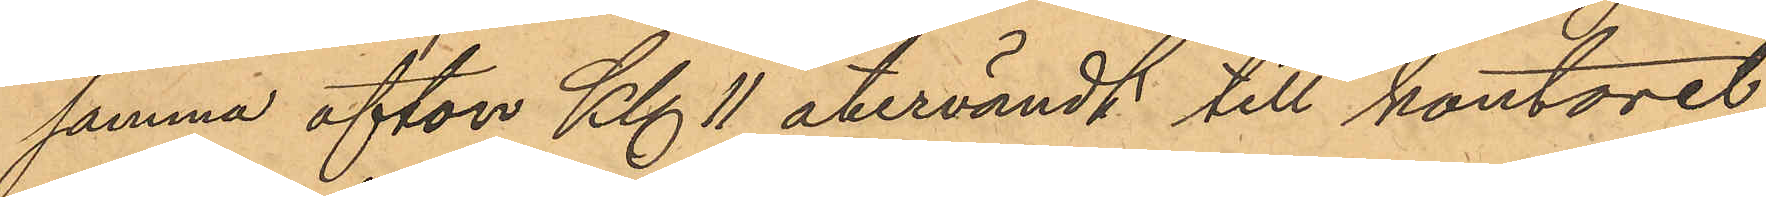samma afton Kl 11 återvändt till kontoret,
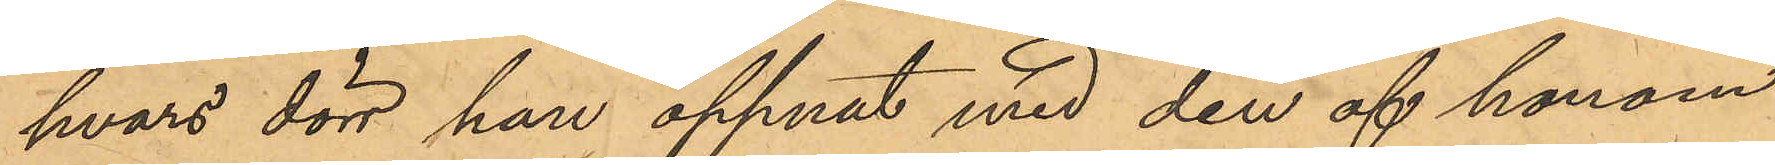hvars dörr han öppnat med den af honom
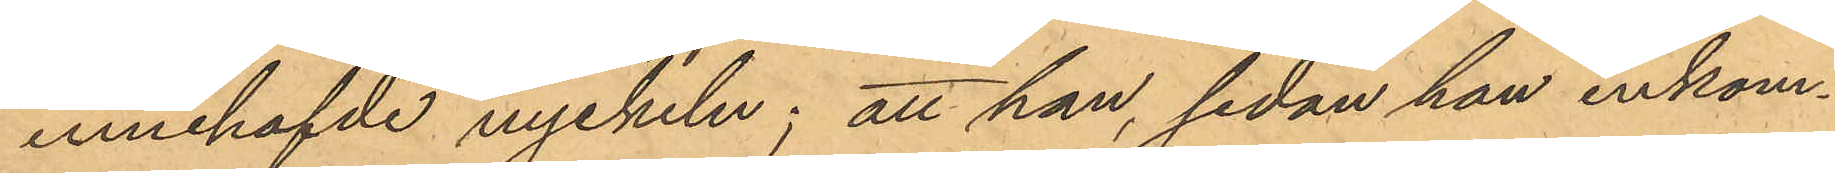innehafvde nyckeln; att han, sedan han inkom¬
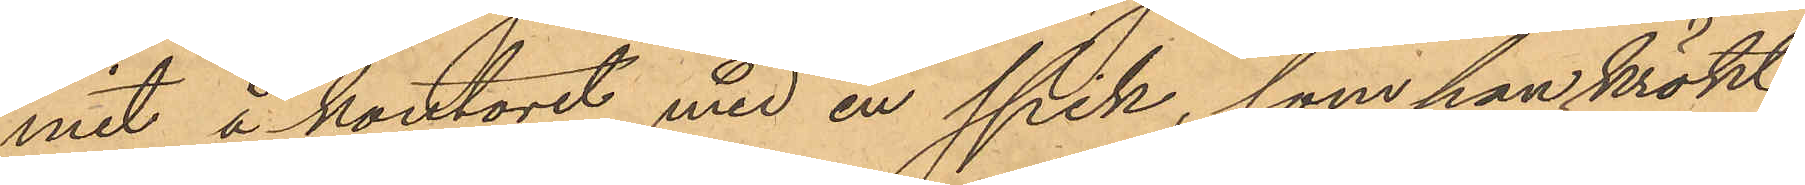mit å kontoret med en spik, som han krökt
